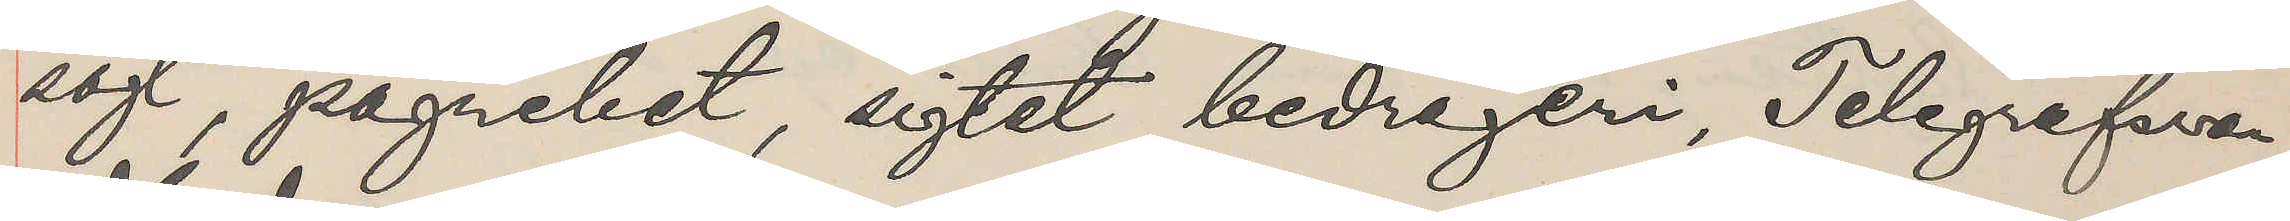sögt, pågnebet, sigtet bedrageri, Telegrafsvar
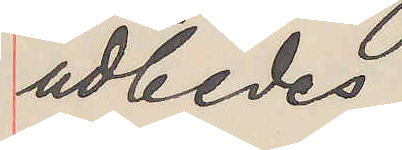udbedes.
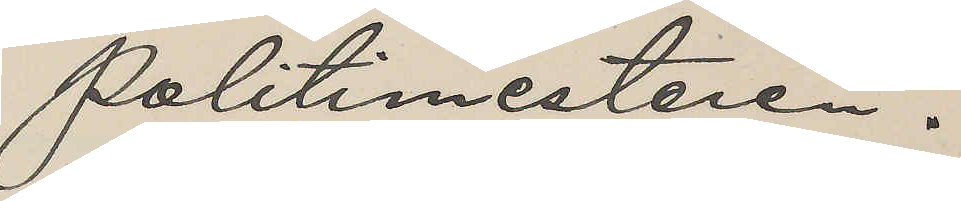Politimesteren.
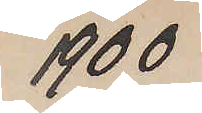1900
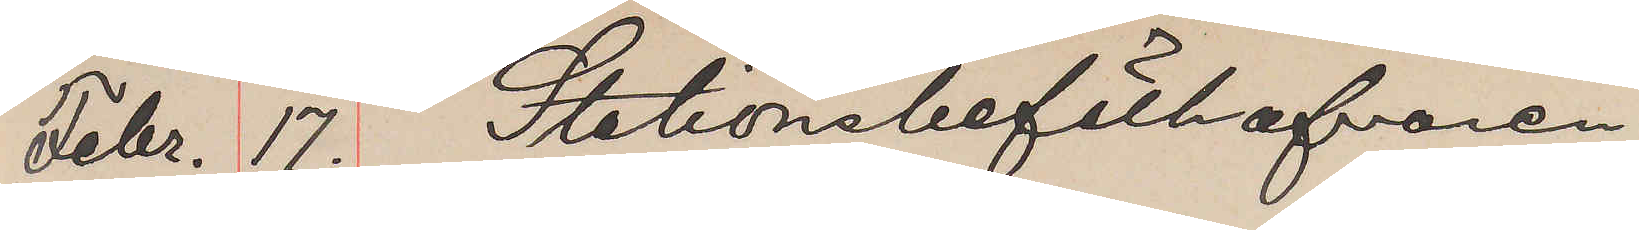Febr. 17. Stationsbefälhafvaren
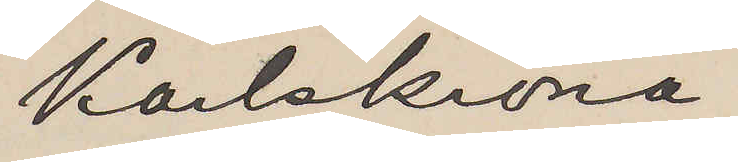Karlskrona
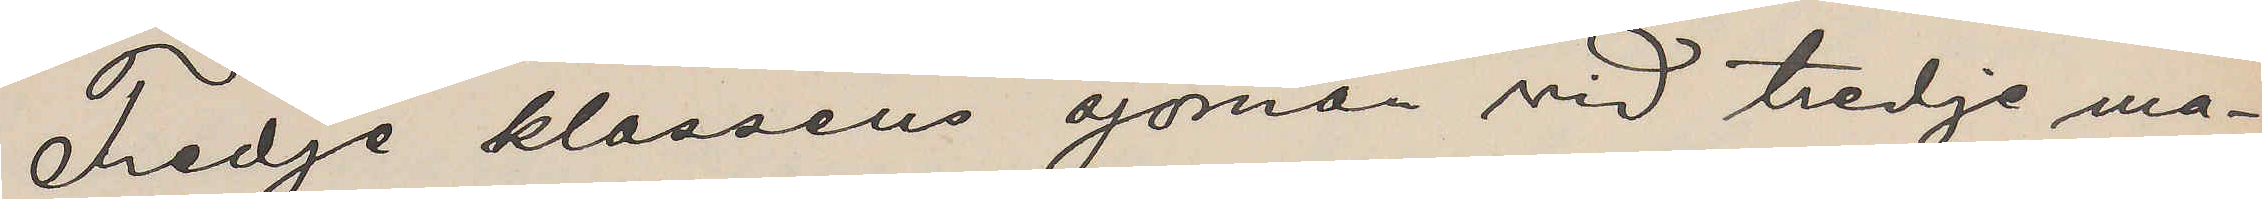Tredje klassens sjöman vid tredje ma¬
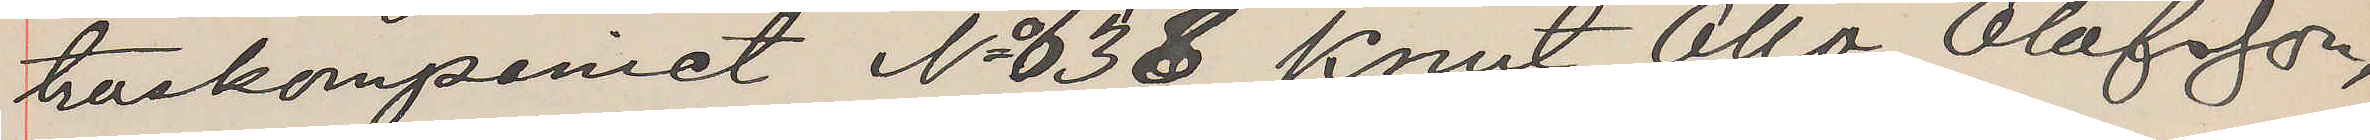troskompaniet No 638 Knut Otto Olofsson,
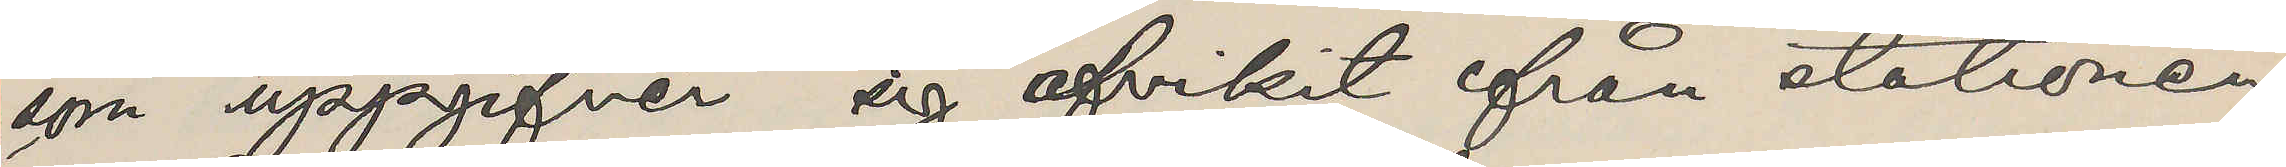som uppgifver sig afvikit ifrån stationen
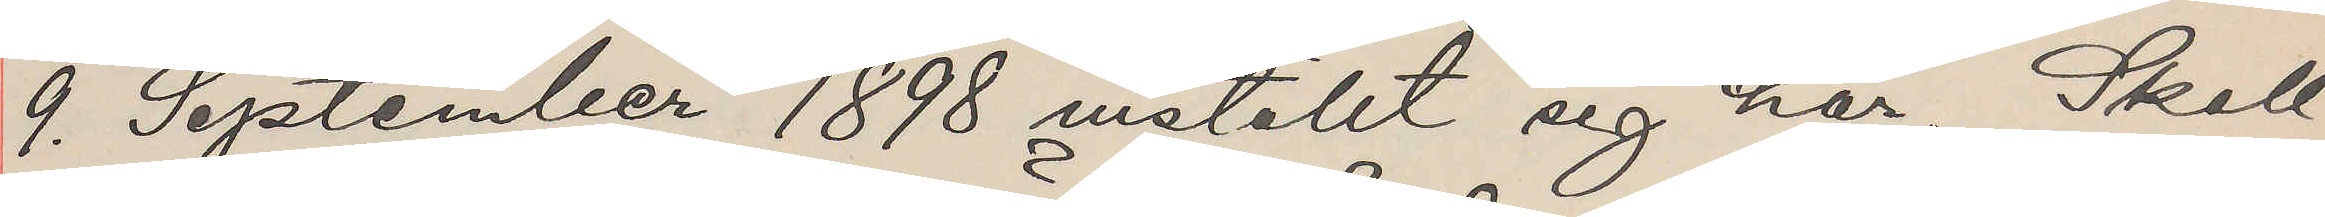9. September 1898 inställt sig här. Skall
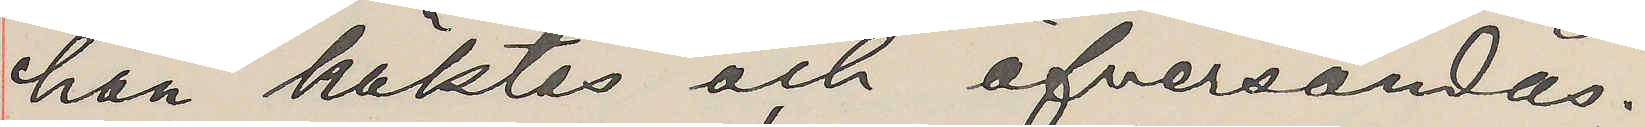han häktas och öfversändas?
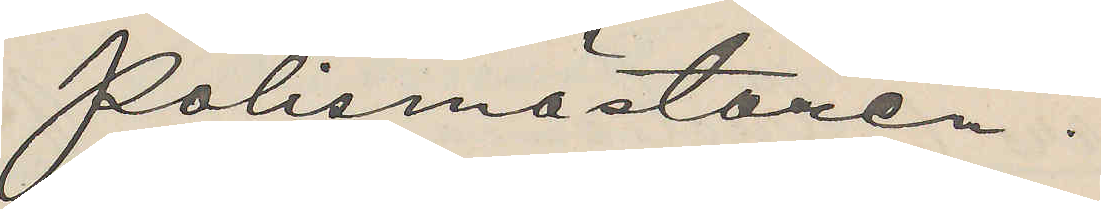Polismästären.
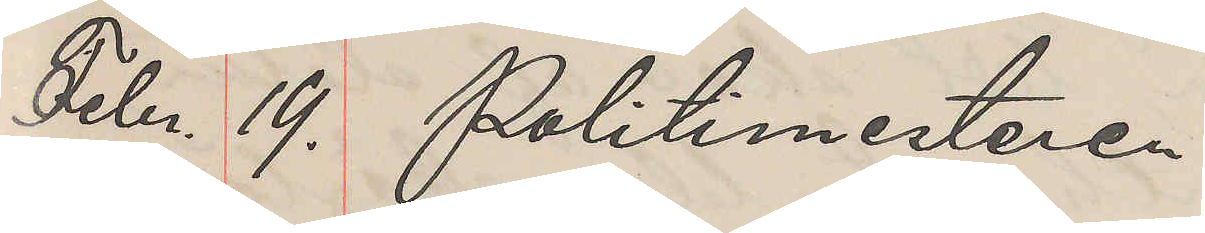Febr. 19. Politimesteren
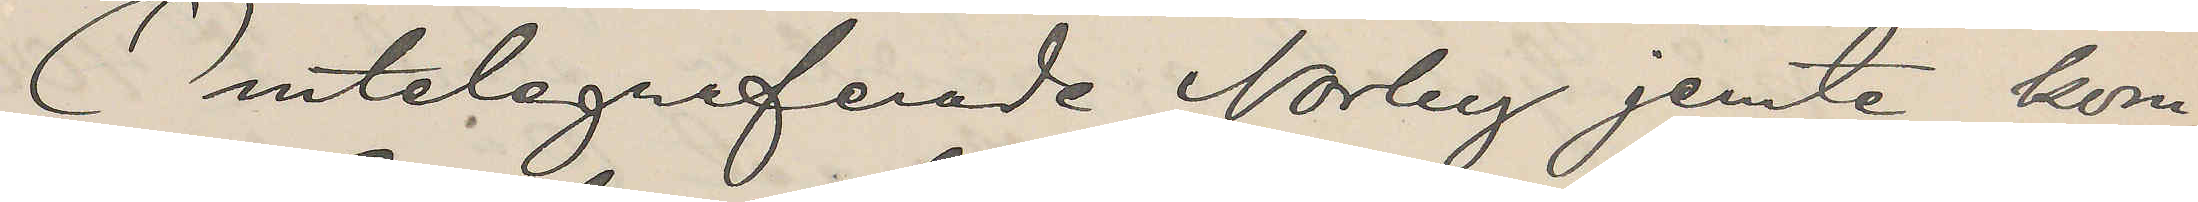Omtelegraferade Norby jemte kom¬
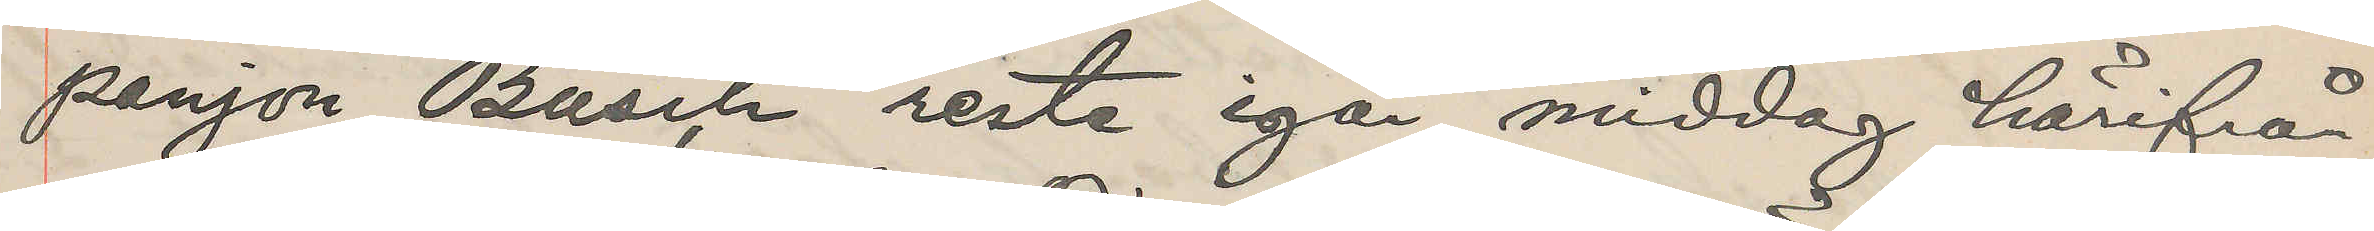panjon Busch reste igår middag härifrån
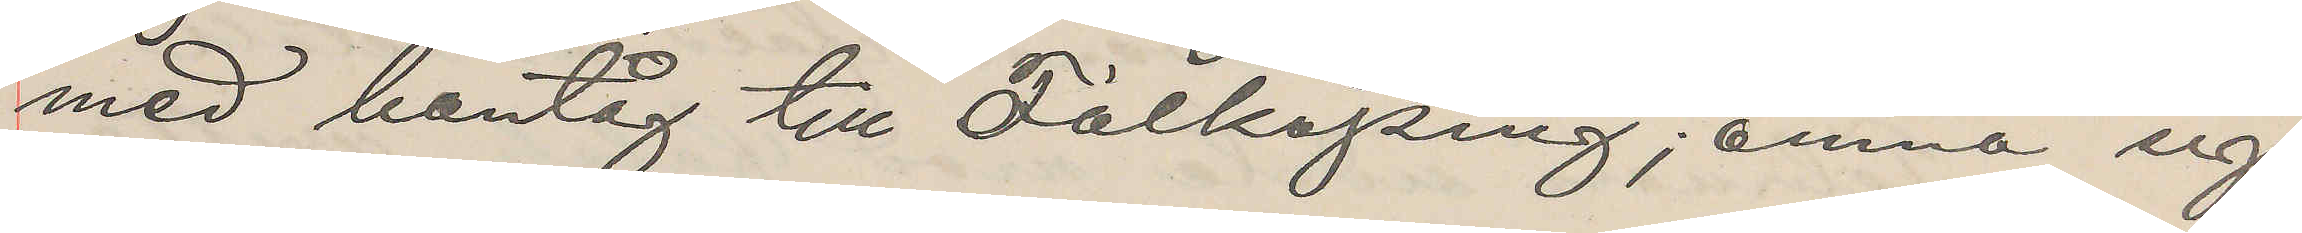med bantåg till Falköping, ämna sig
